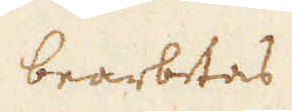bearbetas
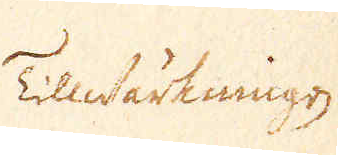Tillwärkningen
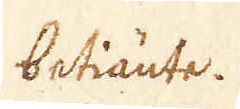betiänte.
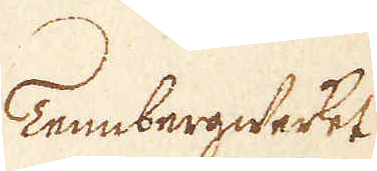Tennbergwerket
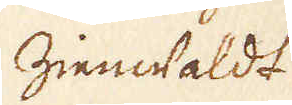Zienwaldt
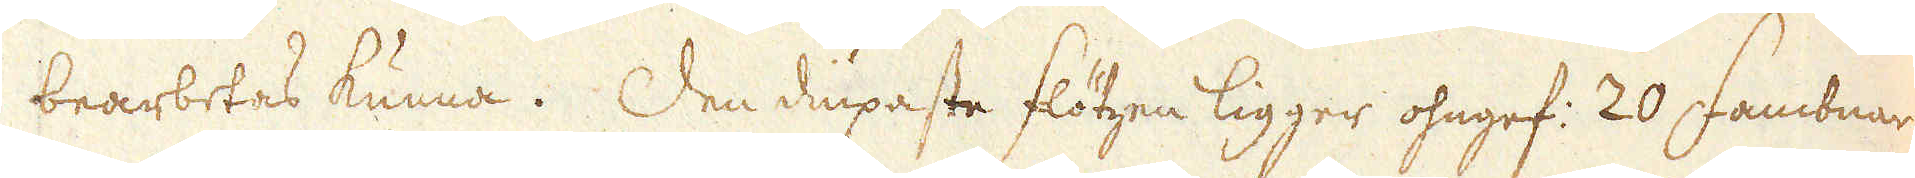bearbetas kunna. Den diupaste flötzen ligger ohngef: 20 fambnar
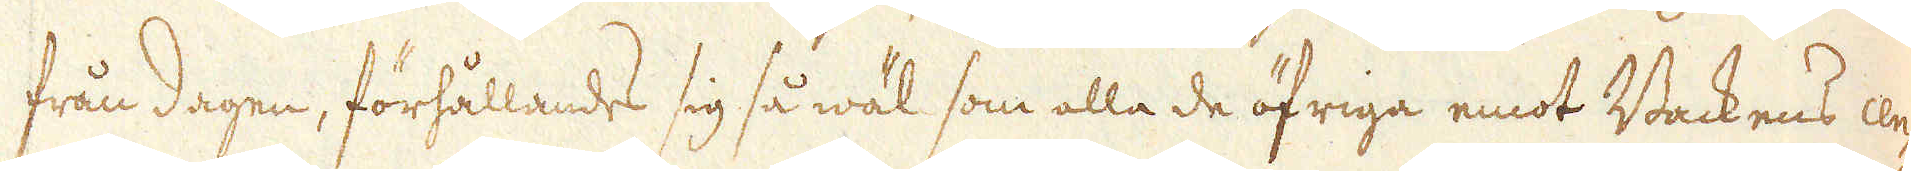från dagen, förhållandes sig så wäl som alla de öfriga emot Backens cen-
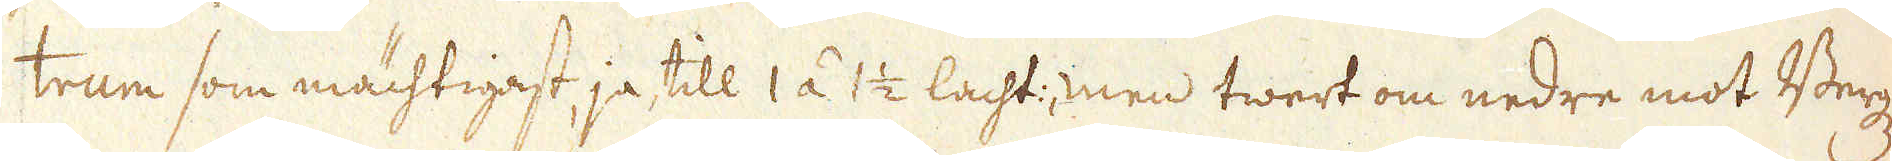trum som mächtigast, ja till 1 á 1 1/2 lacht:, men twert om nedre mot Berg-
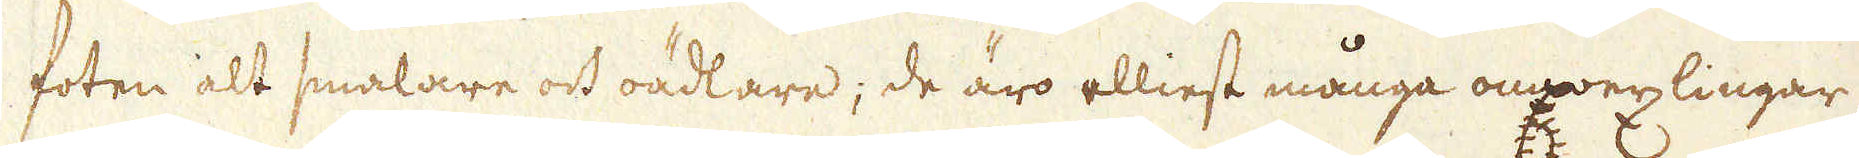foten alt smalare och oädlare; de äro elliest många omwexlingar
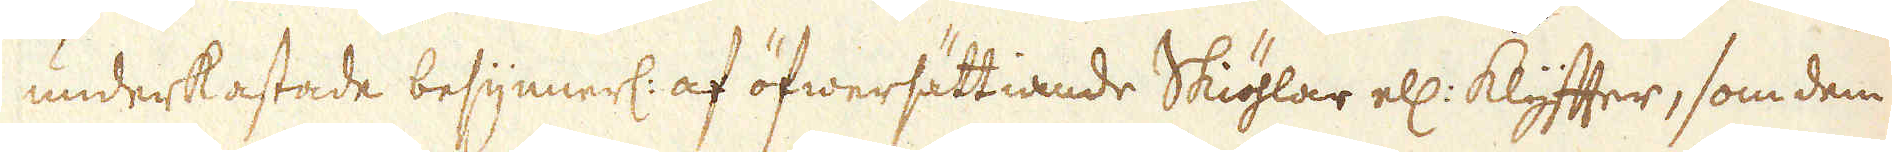underkastade besynnerl: af öfwersättiande Skiöhlar ell: klyffter, som dem
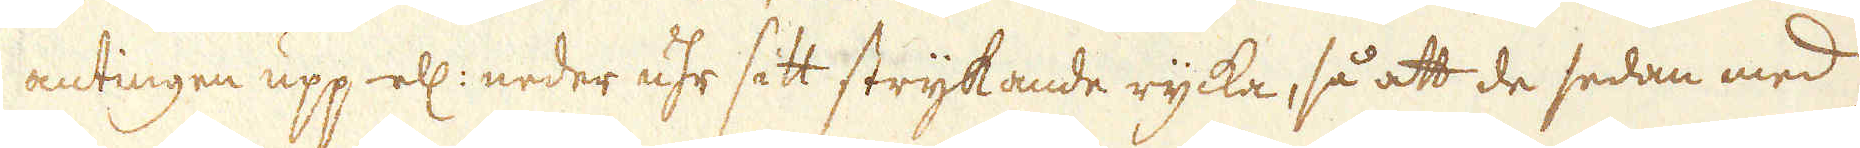antingen upp- ell: neder uhr sitt strykande rycka, så att de sedan med
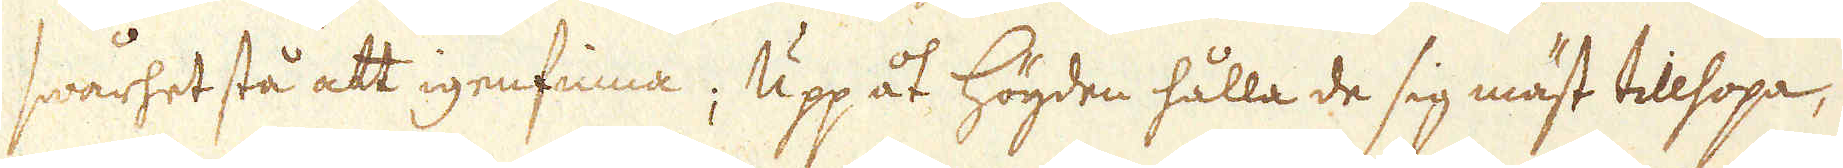swårhet stå att igenfinna; Upp åt högden hålla de sig mäst tillhopa,
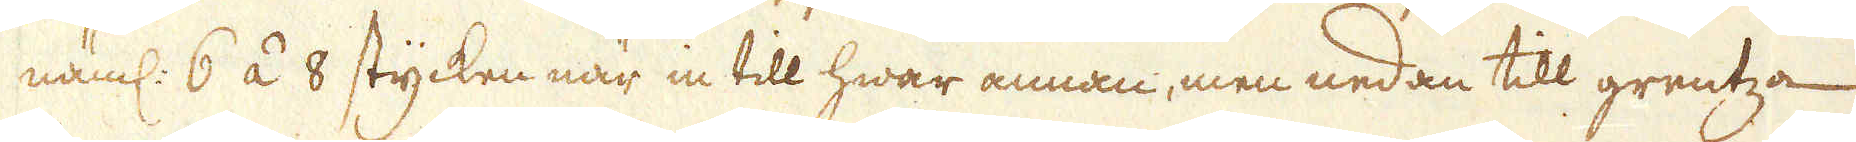näml: 6 á 8 stycken när in till hwar annan, men nedan till grentza
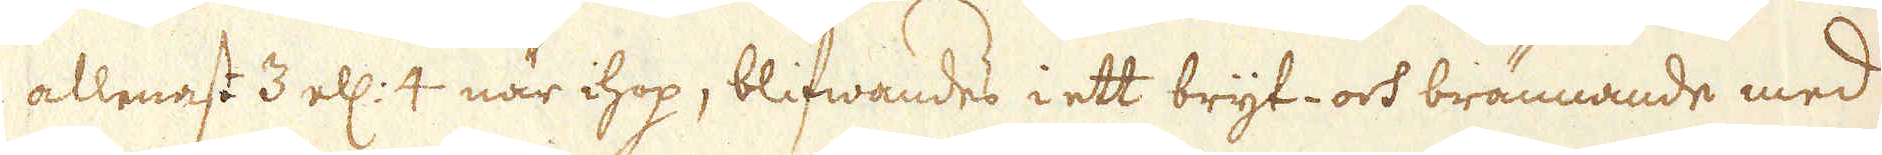allenast 3 ell: 4 när ihop, blifwandes i ett bryt- och brännande med
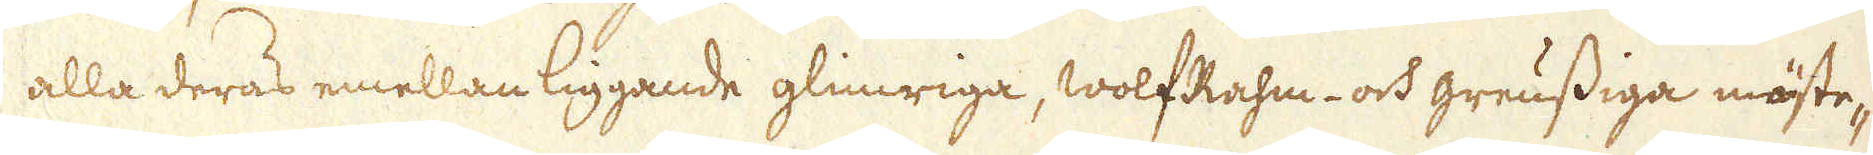alla deras emellan liggande glimriga, WolfRahm- och greussiga mäste-
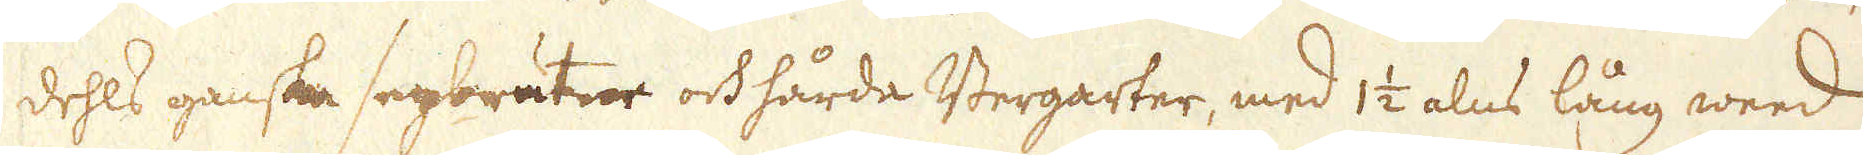dehls ganska segbrutne och hårda Bergarter, med 1 1/2 alns lång weed
